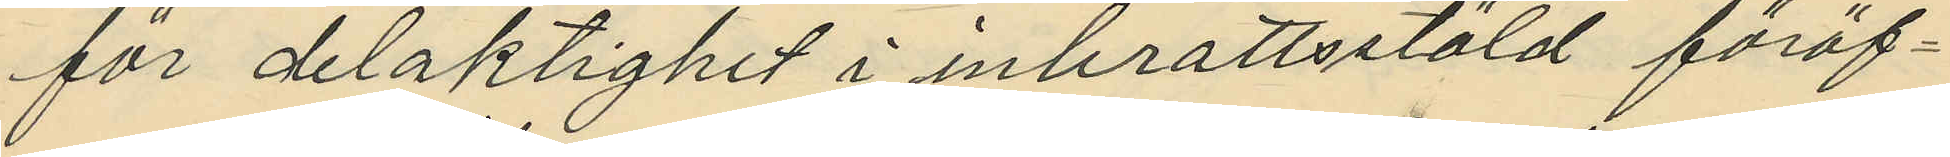för delaktighet i inbrottsstöld föröf¬
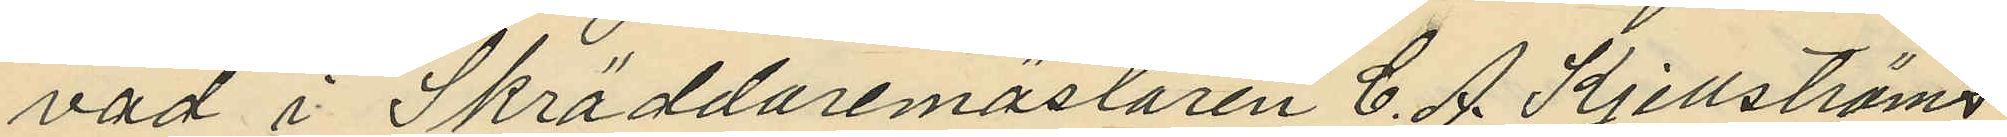vad i Skräddaremästaren C. A. Kjellströms
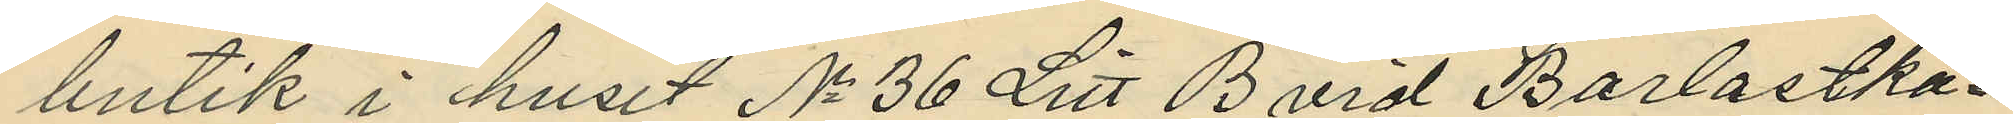butik i huset No 36 Litt B vid Barlastka¬
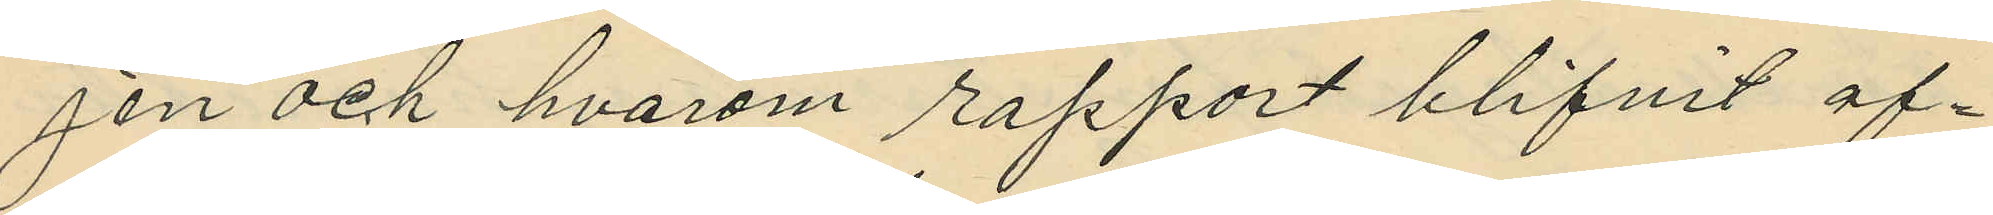jen och hvarom rapport blifvit of¬
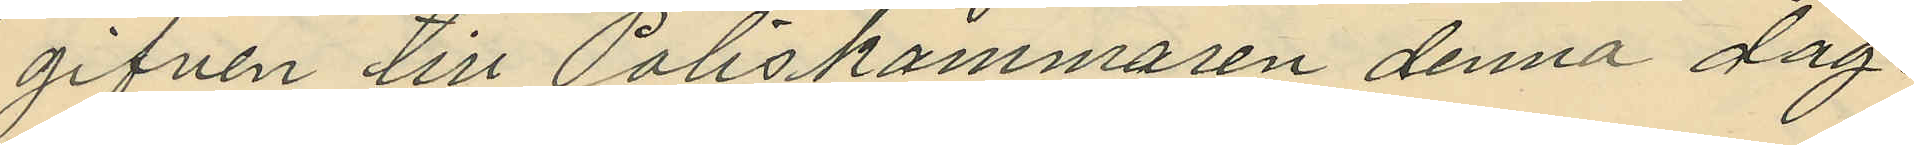gifven till Poliskammaren denna dag
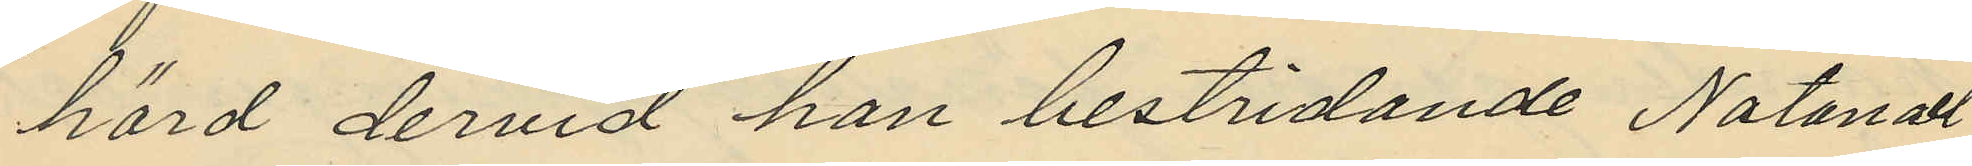hörd dervid han bestridande Natanael
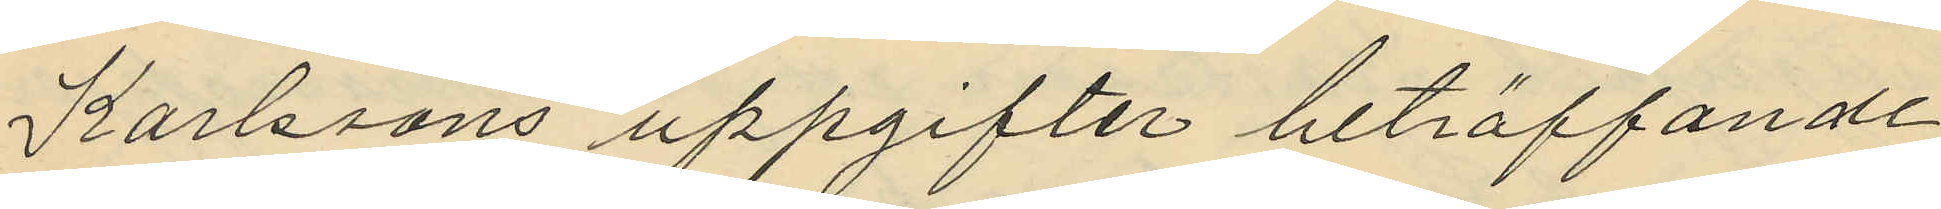Karlssons uppgifter beträffande
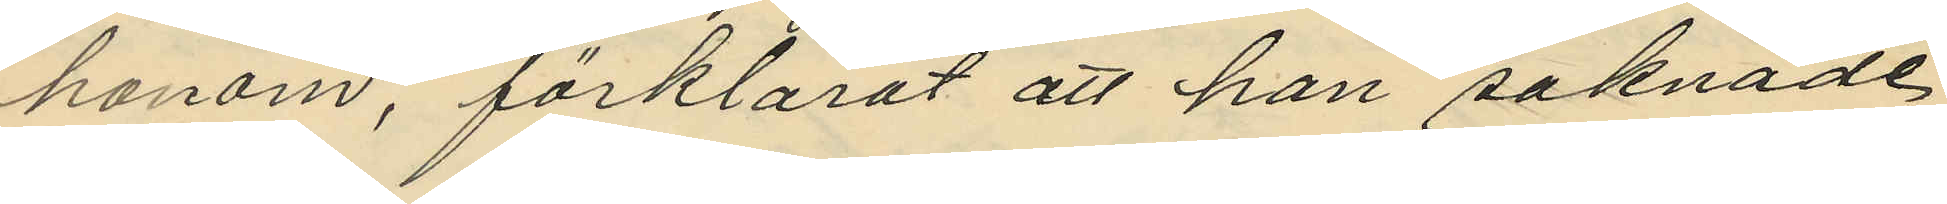honom, förklarat att han saknade
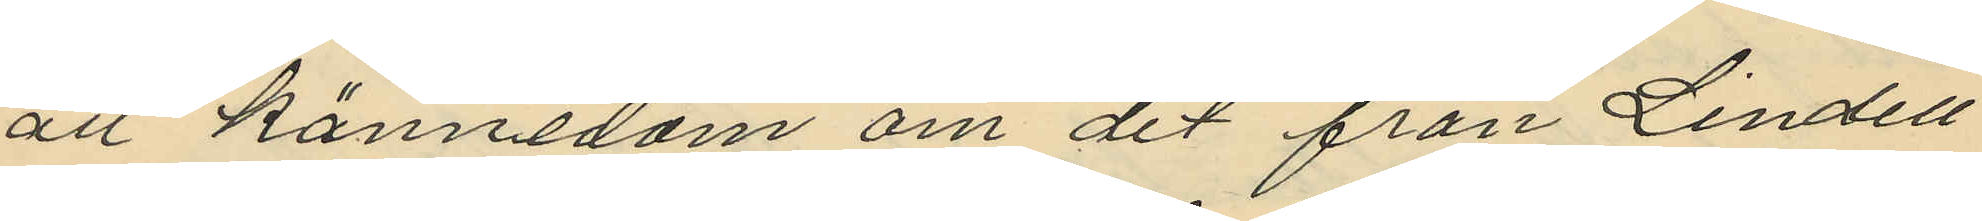all kännedom om det från Lindell
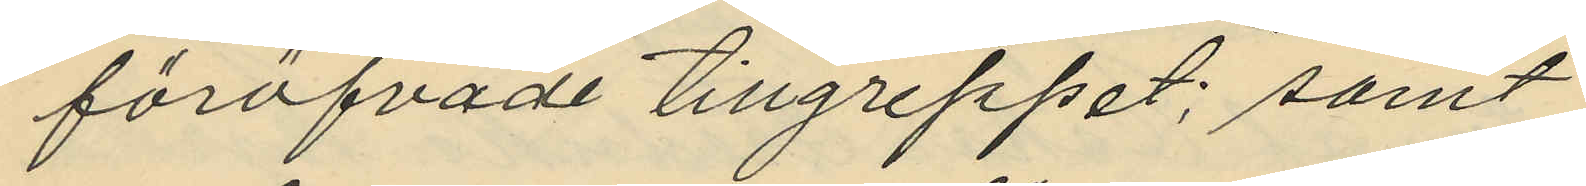föröfvade tillgreppet; samt
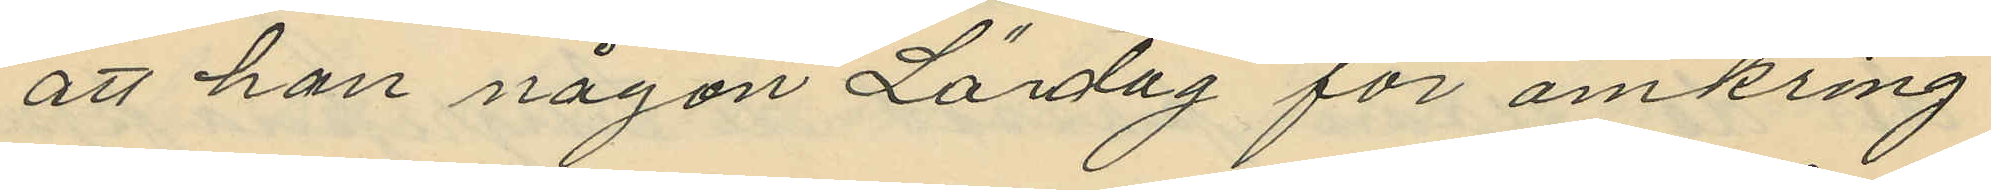att han någon Lördag för omkring
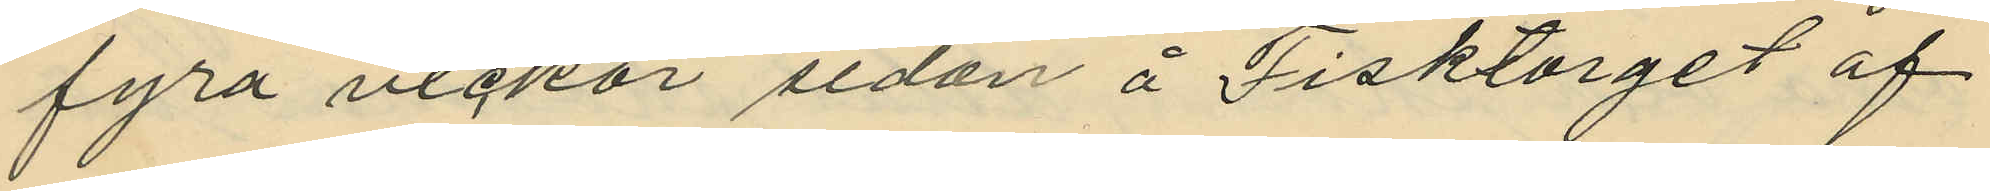fyra veckor sedan å Fisktorget af
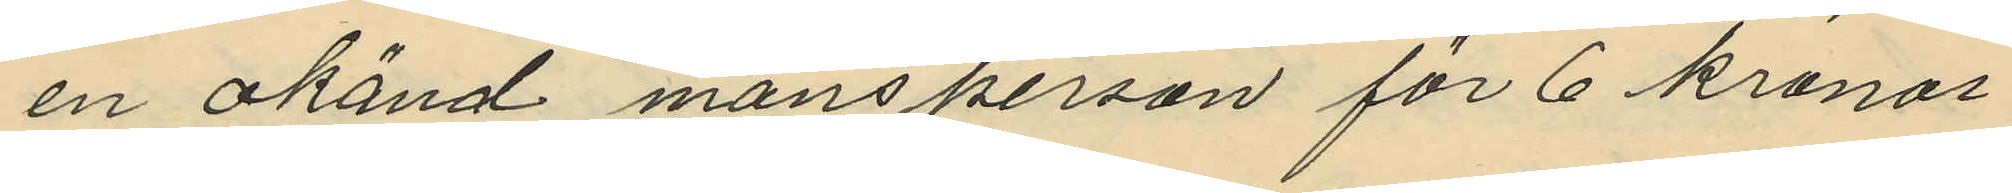en okänd mansperson för 6 kronor
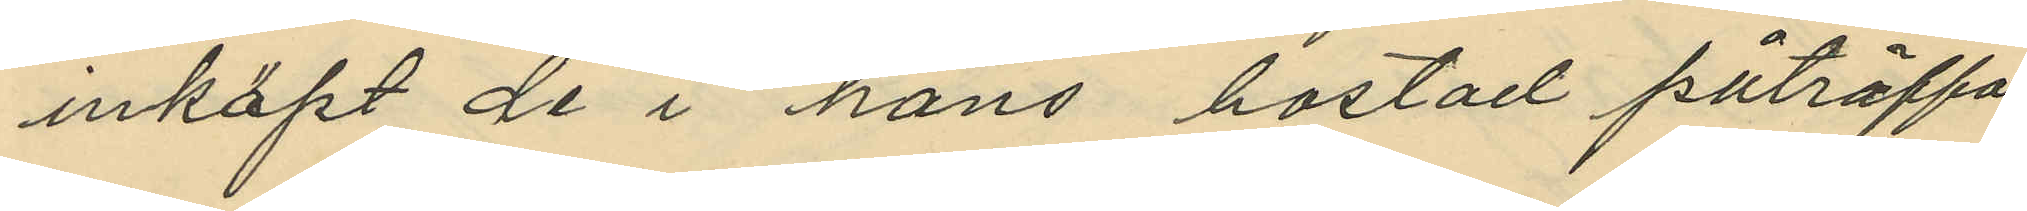inköpt de i hans bostad påträffa
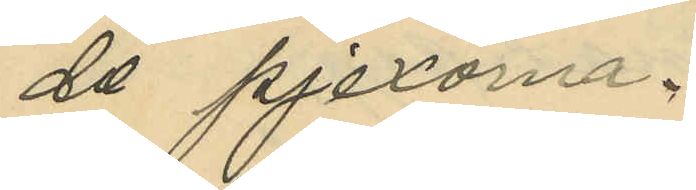de pjexorna.
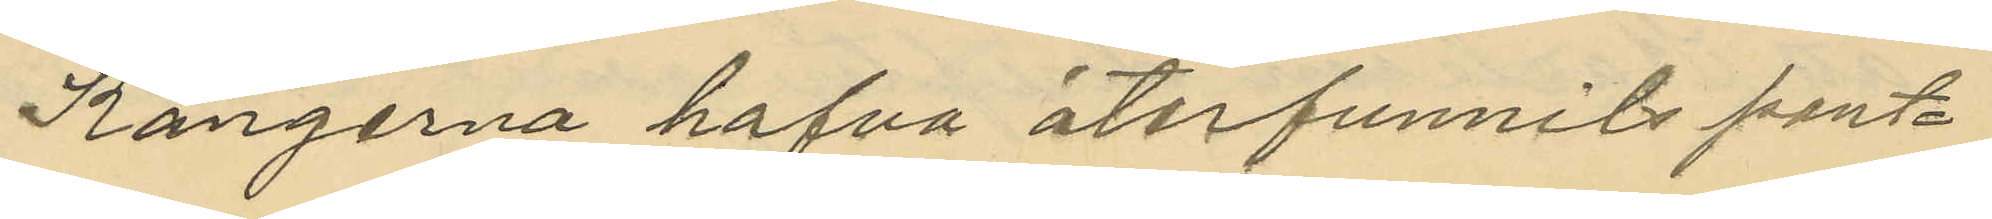Kängerna hafva återfunnits pant¬
